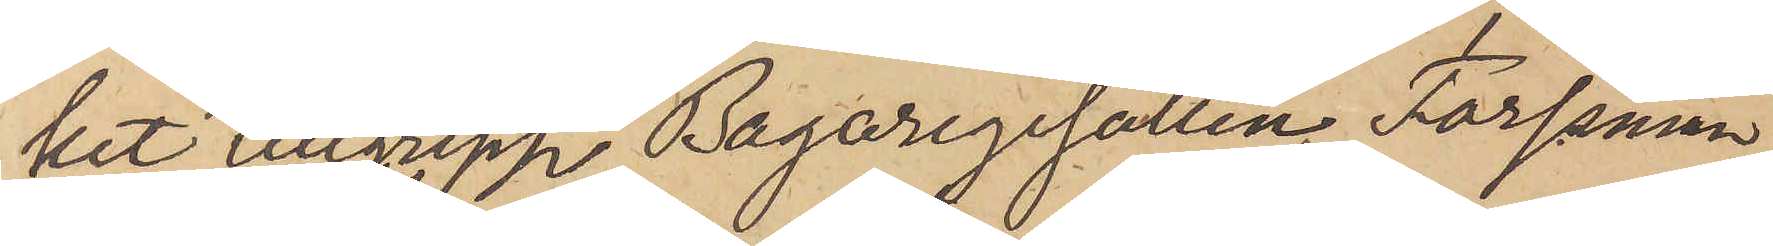ket tillgrepp Bagaregesällen Forssman
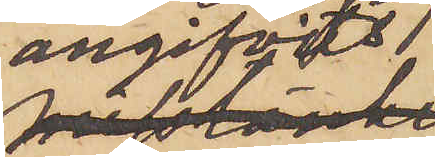angifvits
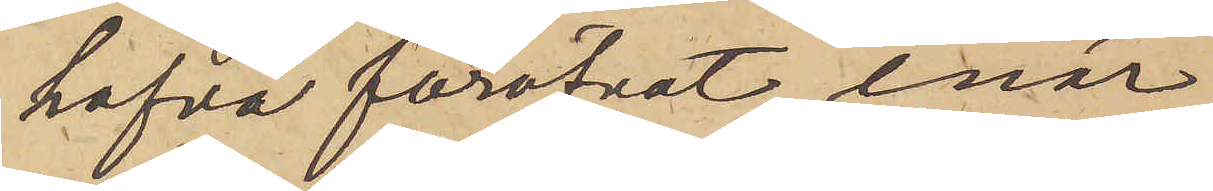hafva föröfvat, enär
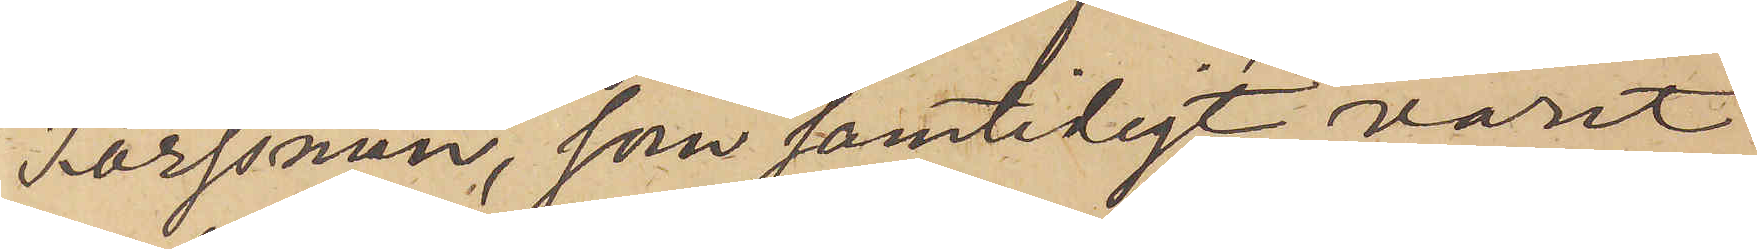Forssman, som samtidigt varit
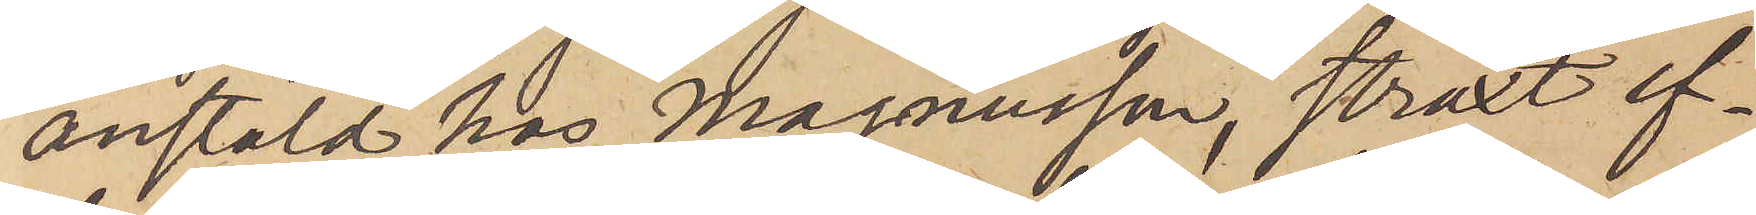anstäld hos Magnusson, straxt ef¬
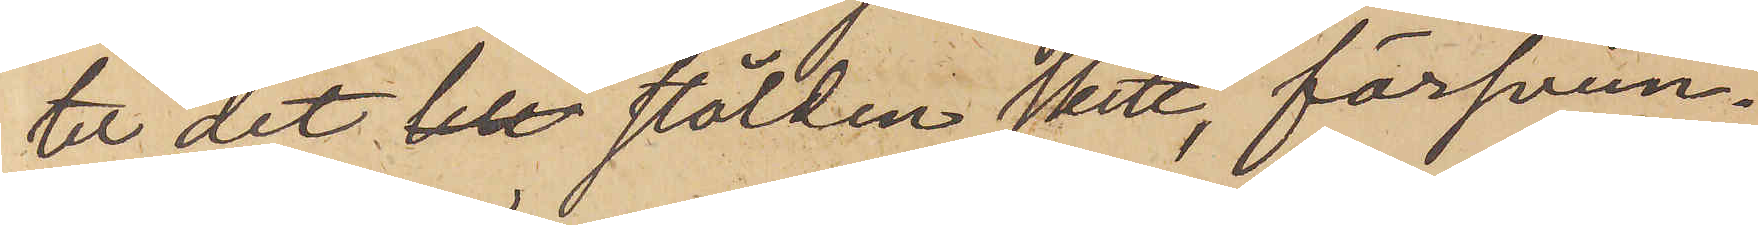ter det stölden skett, försvun¬
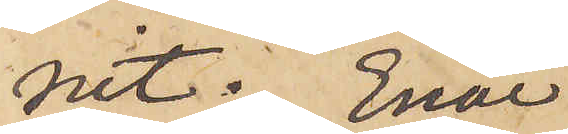nit. Enär
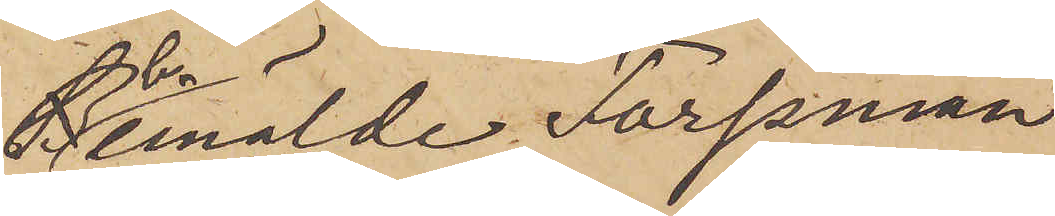bemälde Forssman
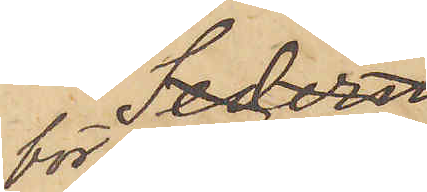för närvarande
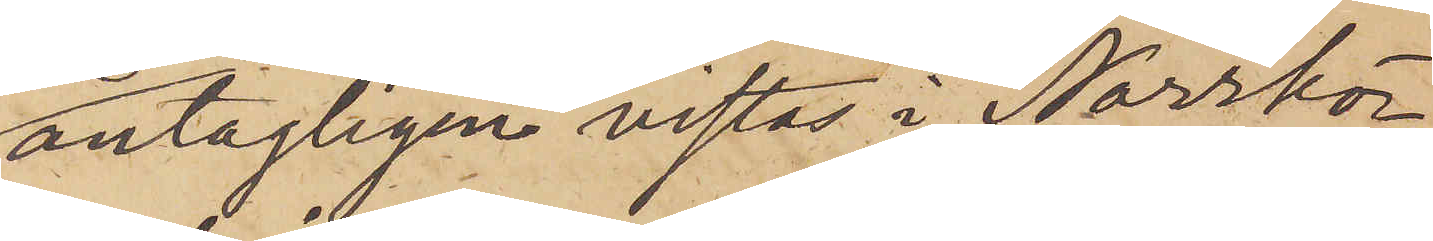antagligen vistas i Norrkö¬
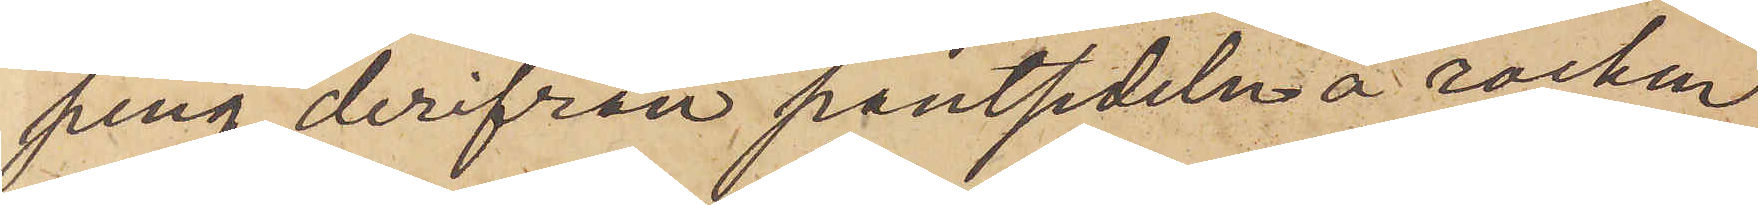ping, derifrån pantsedeln å rocken
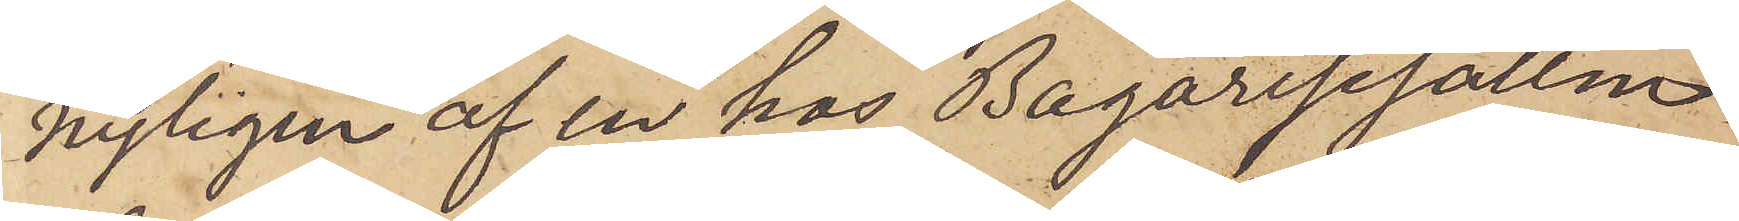nyligen af en hos Bagaregesällen
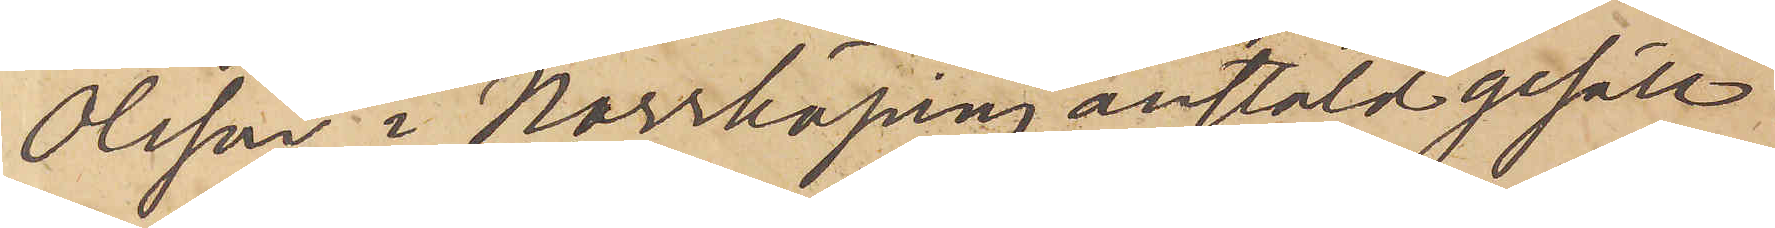Olsson i Norrköping anstäld gesäll
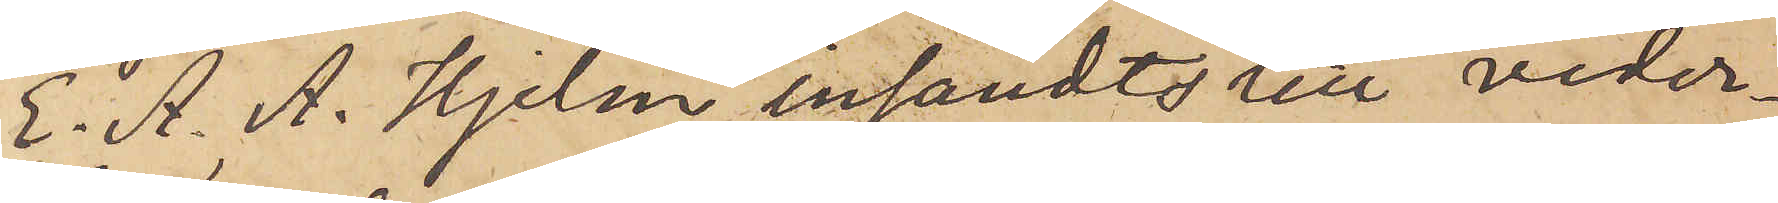E. A. A. Hjelm insändts till veder¬
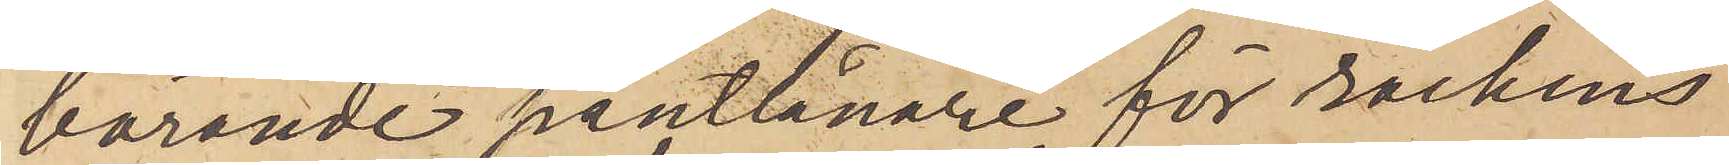börande pantlånare för rockens
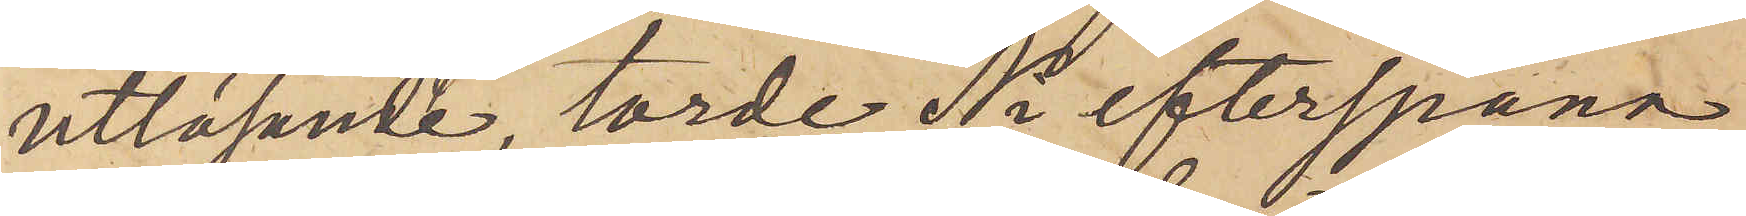utlösande, torde Ni efterspana
